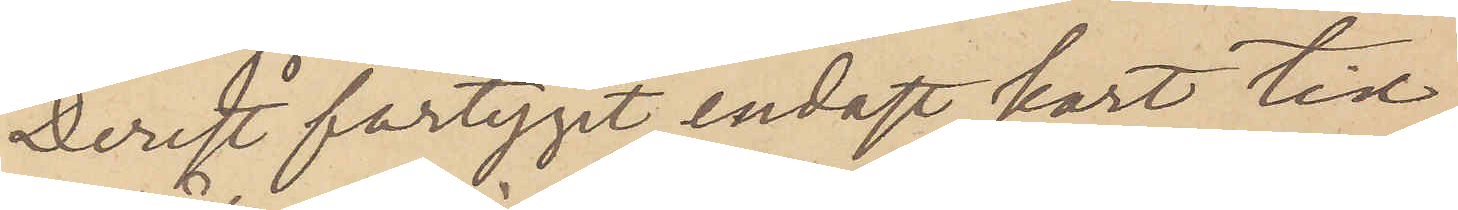Derest fartyget endast kort tid
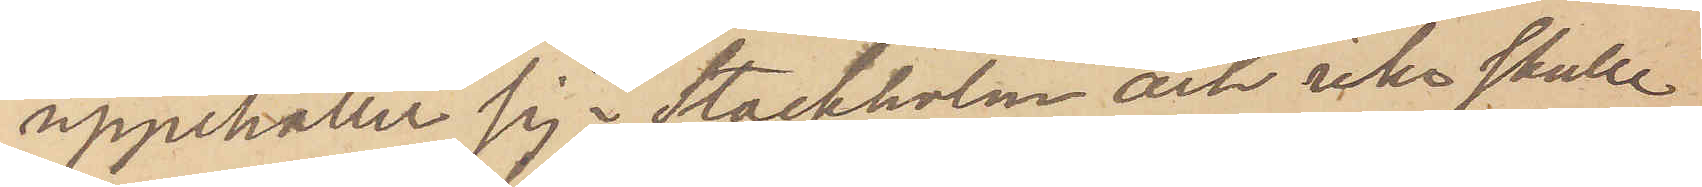uppehåller sig i Stockholm och icke skulle
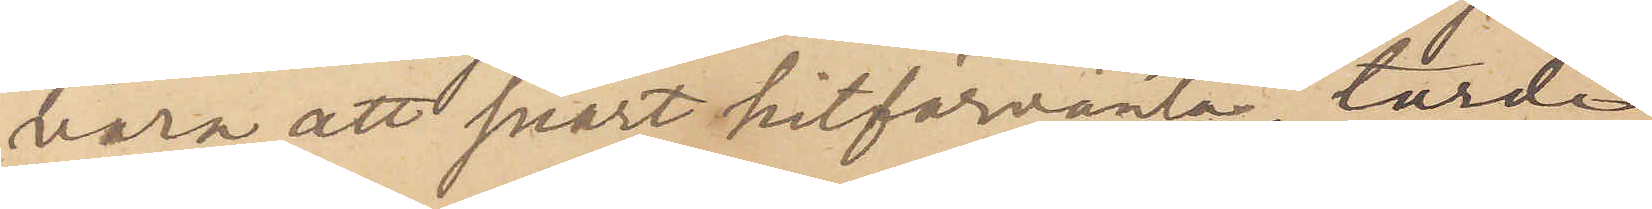vara att snart hitförväntas, torde
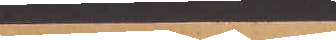besked på
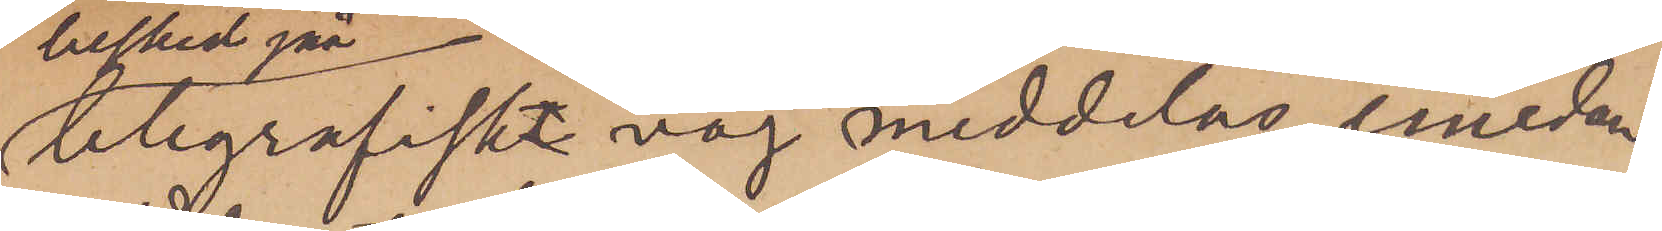telegrafisk väg meddelas, emedan
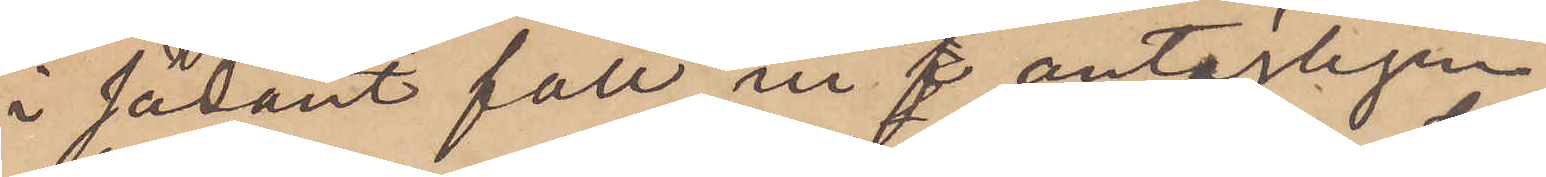i sådant fall vi antagligen
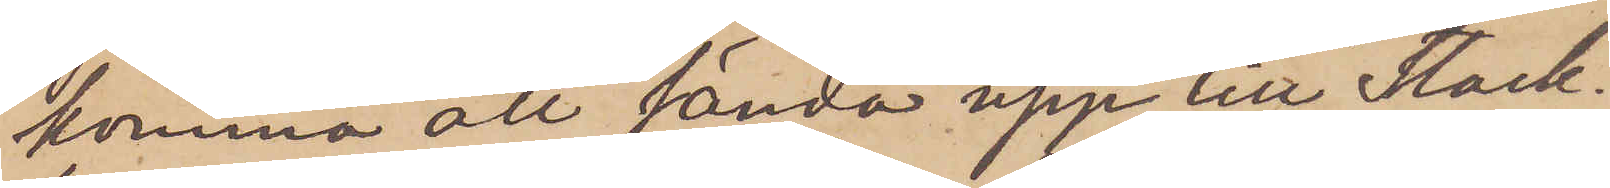komma att sända upp till Stock¬
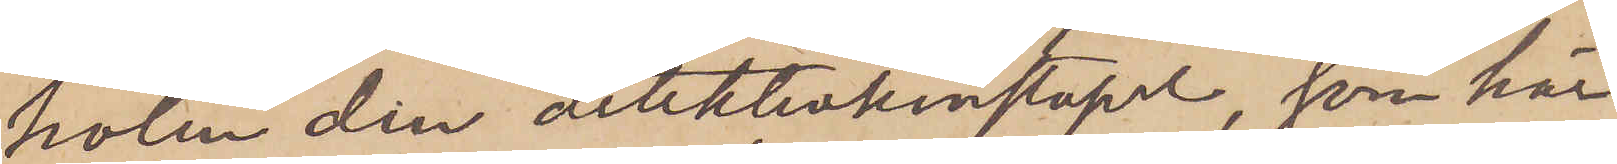holm den detektivkonstapel, som här
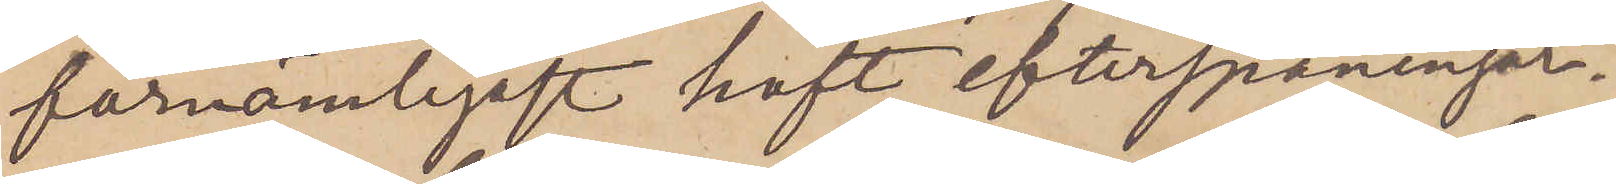förnämligit haft efterspaningar¬
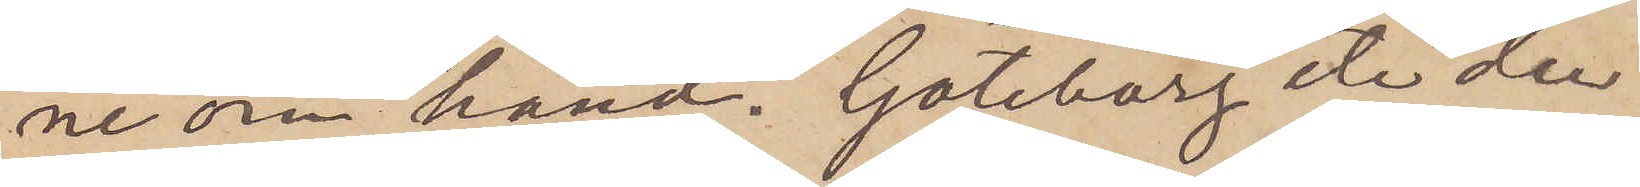ne om hand. Göteborg etc den
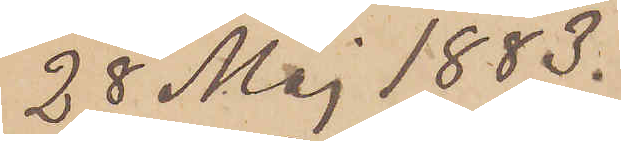28 Maj 1883.
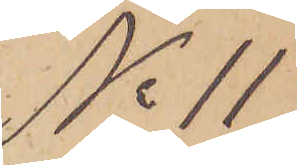No 11
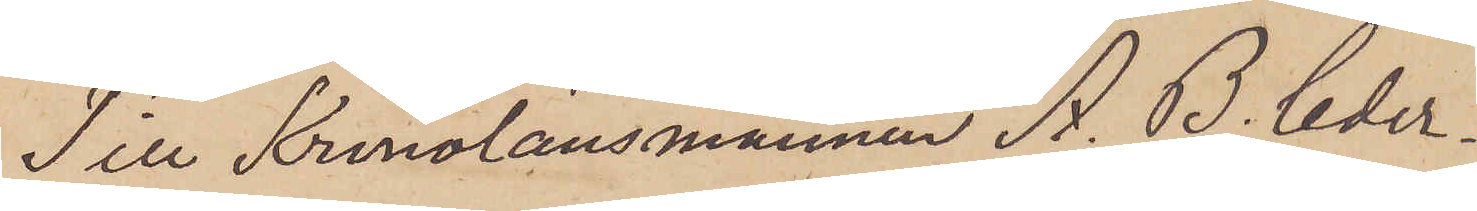Till Kronolänsmannen A. B. Ceder¬
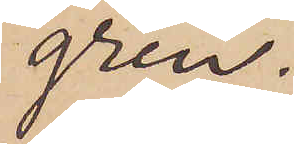gren.
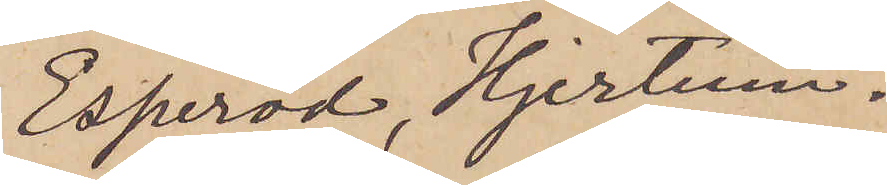Esperöd, Hjertum.
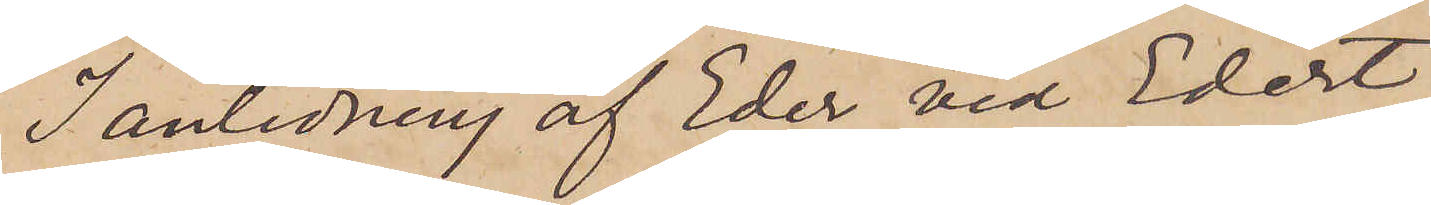I anledning af Eder vid Edert
